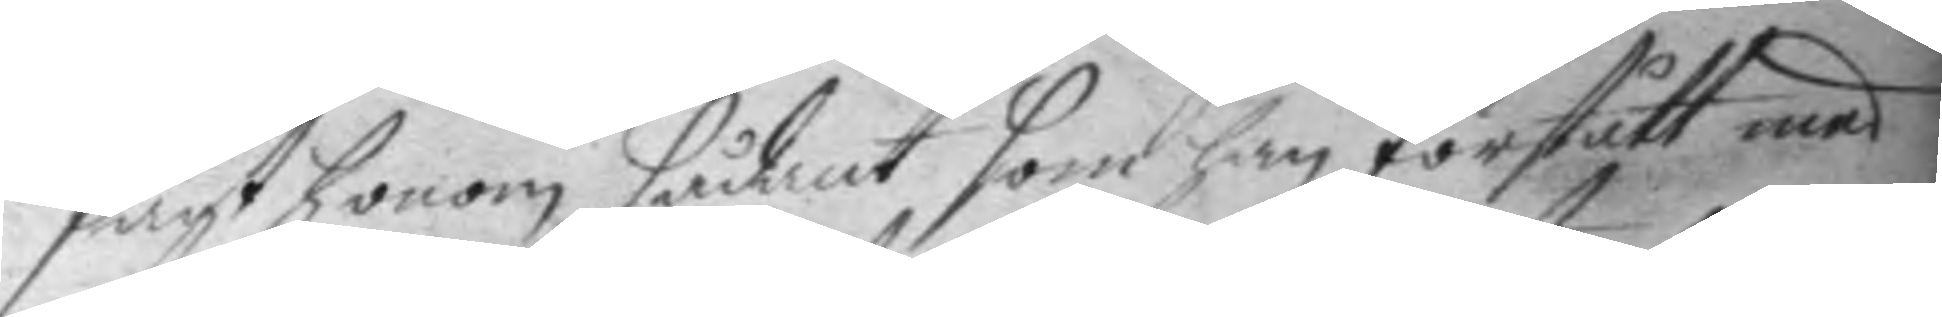sagt honom sådant som han förstått med
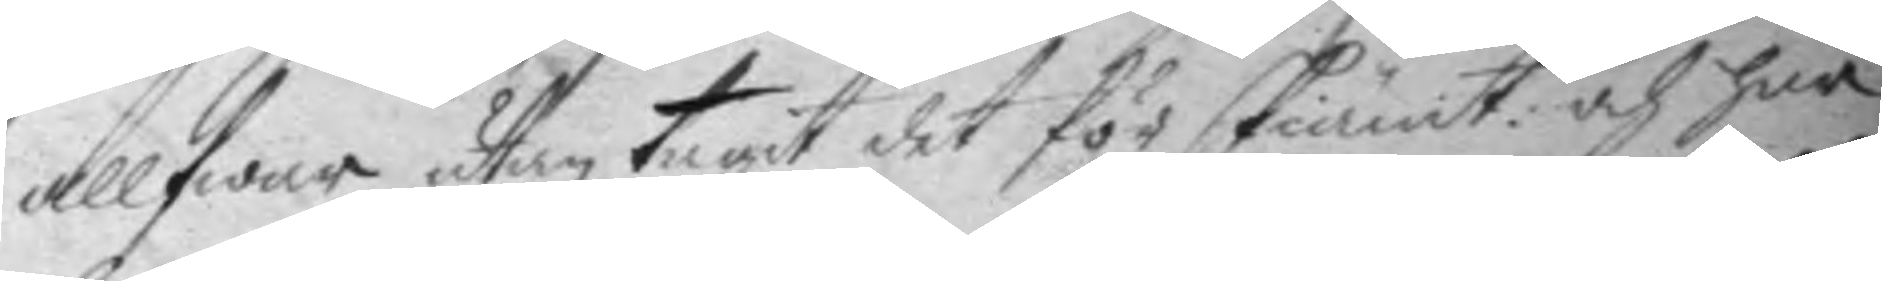allfwar utan tagit det för skiämt: och har
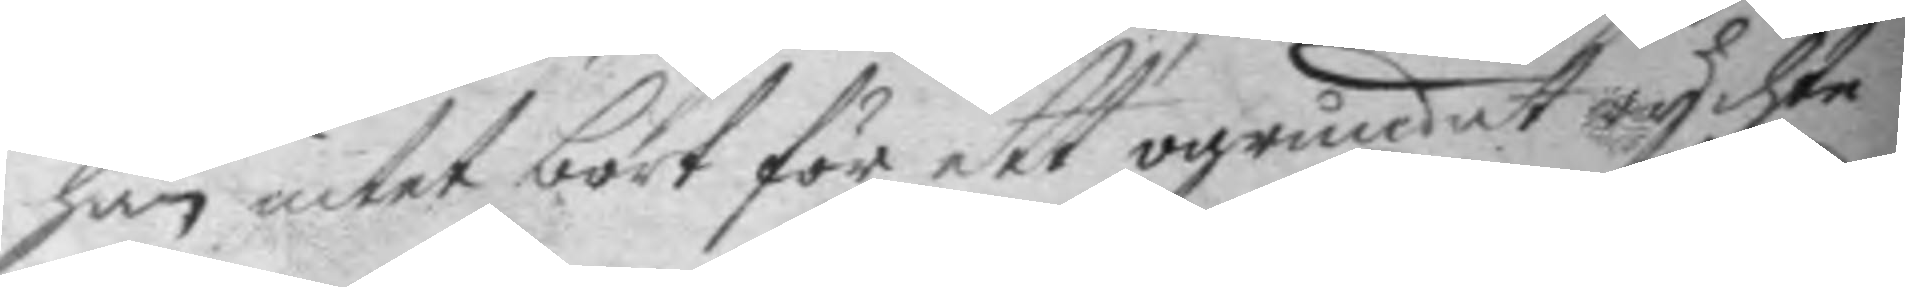han intet bort för ett ogrundat rychte
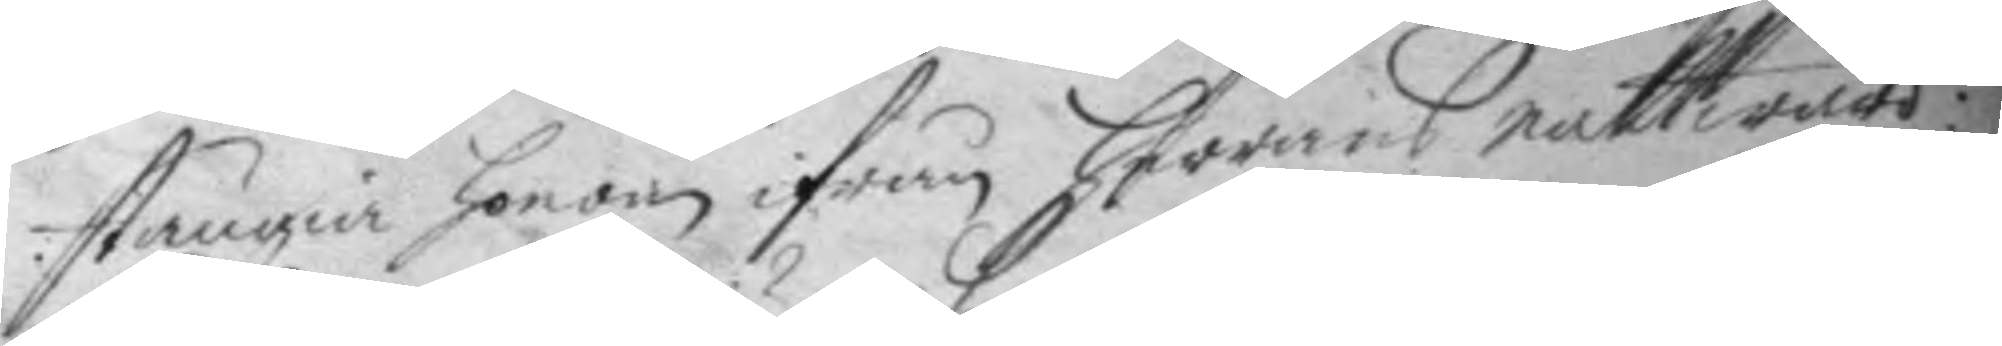stängia honom ifrån herrans nattward:
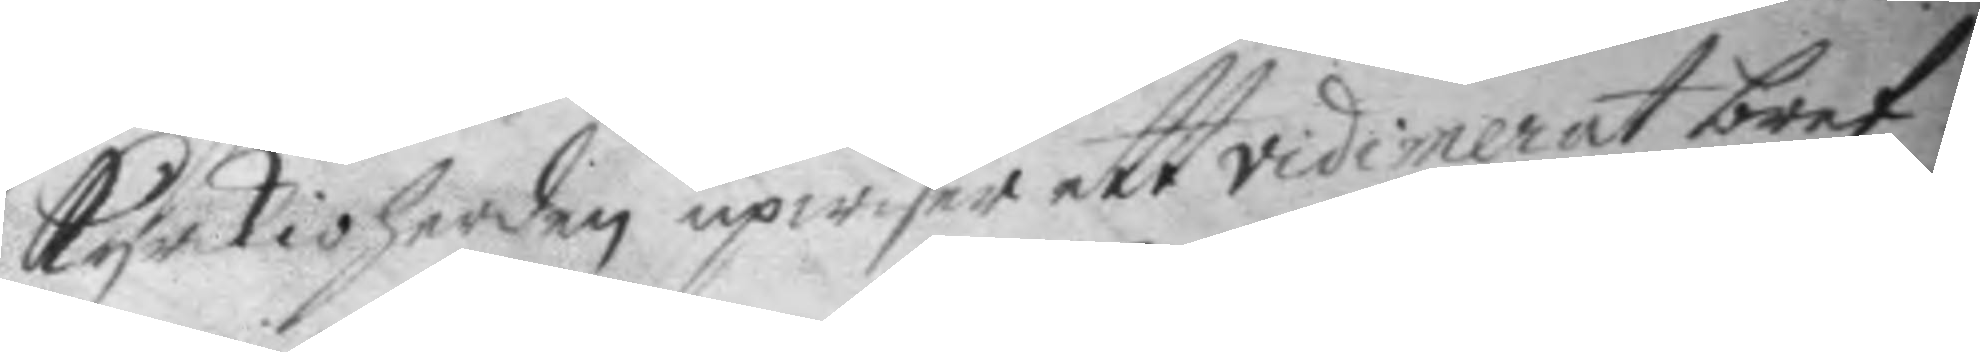kyrkioherden upwiser ett vidimerat bref
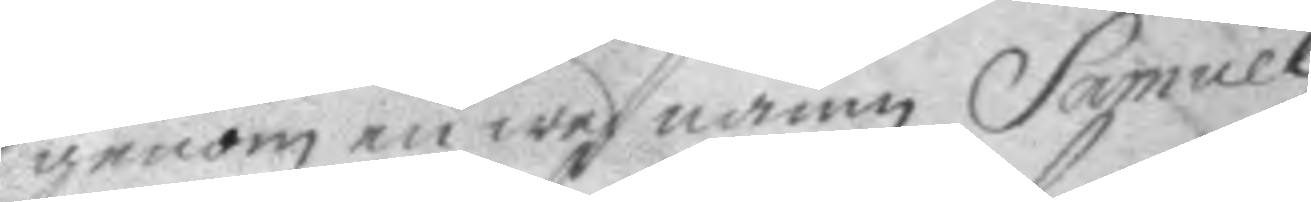genom en wed namn Samuel
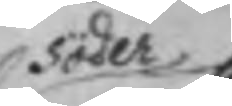Söder¬
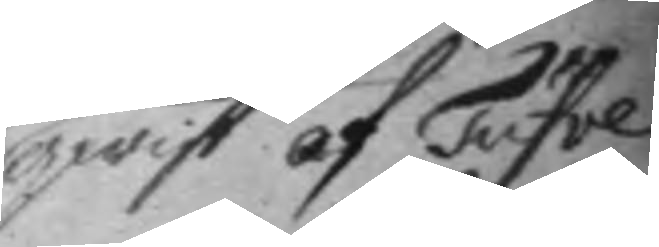qwist af Tufve
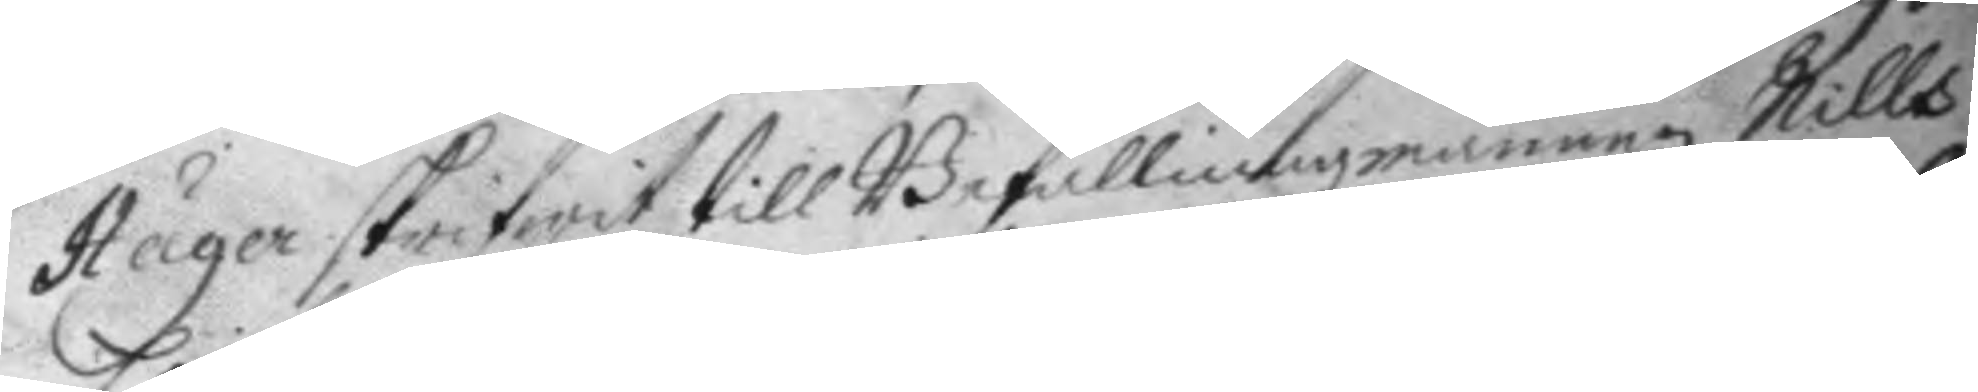Häger skrifwit till Befallningzmannen Nills
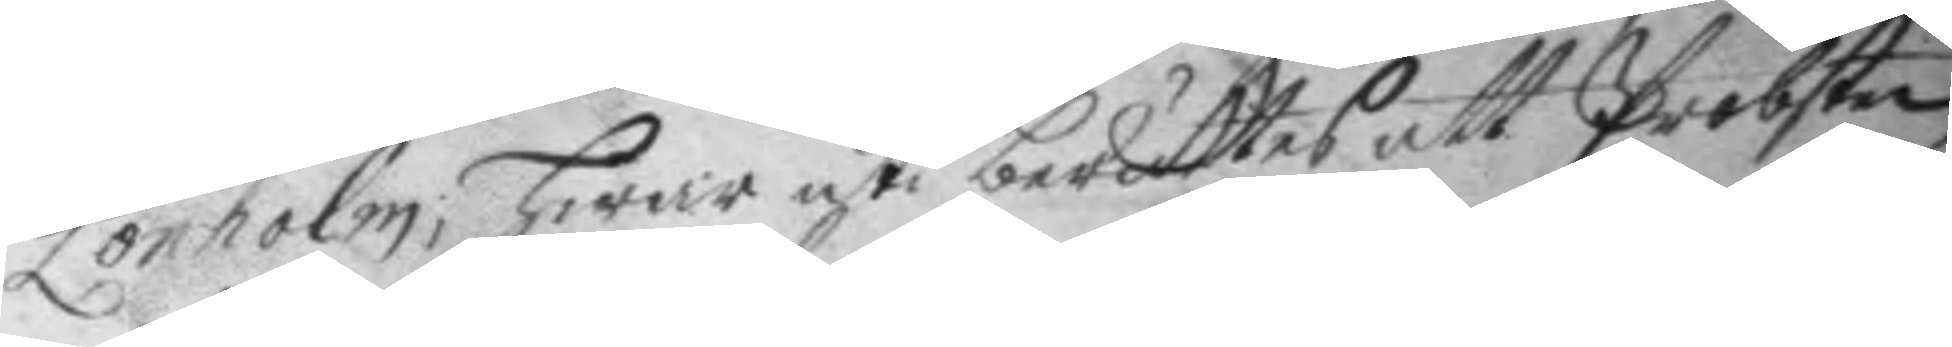Lönholm; hwar uti berättes att Probsten
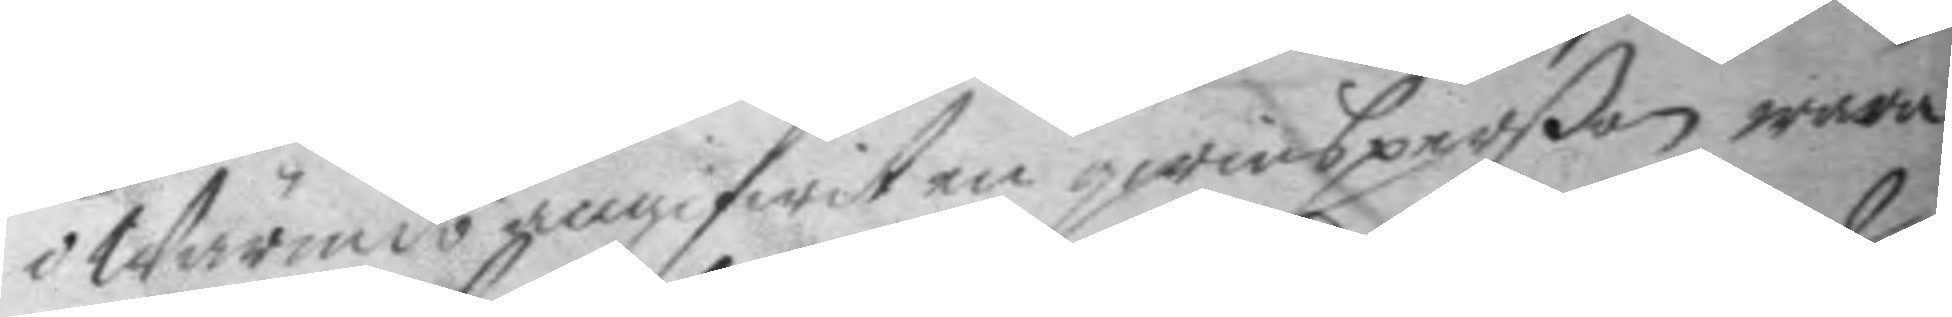i Wärmdö angifwit en qwinsperßon wara
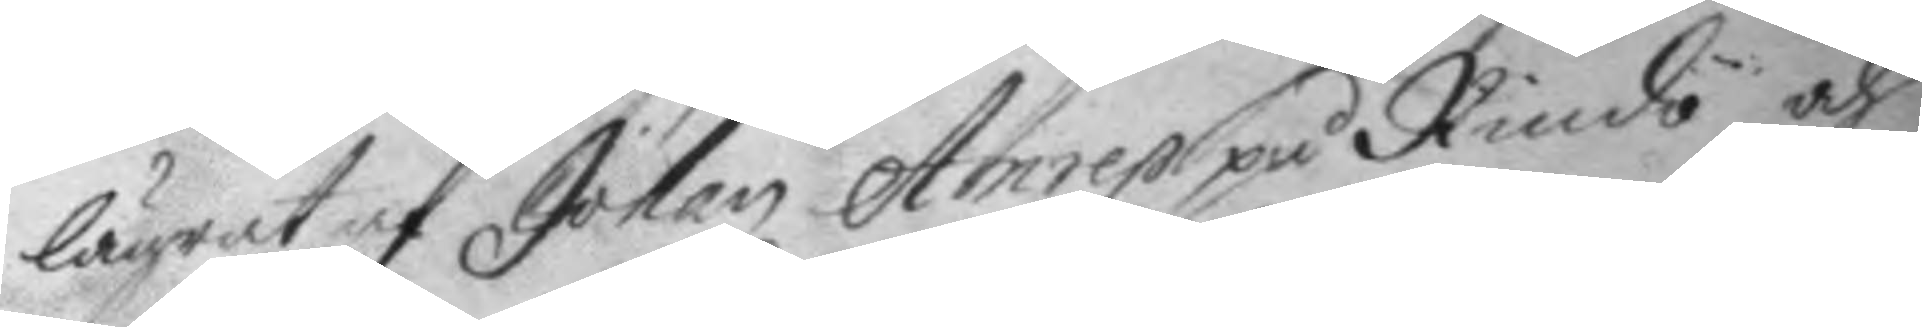lägrat af Johan Anrep på Rindö och
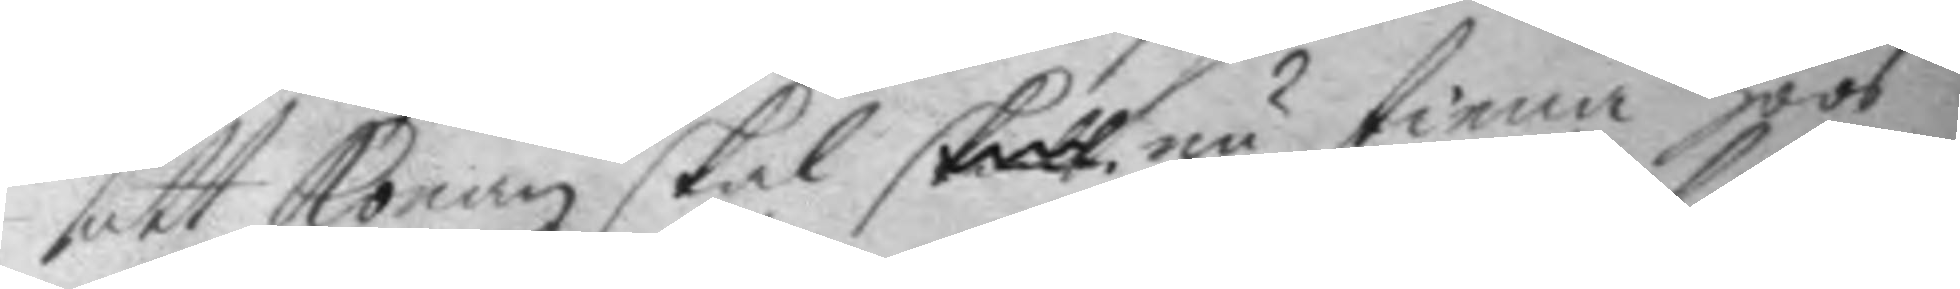att konan skal skall nu tiena hoos
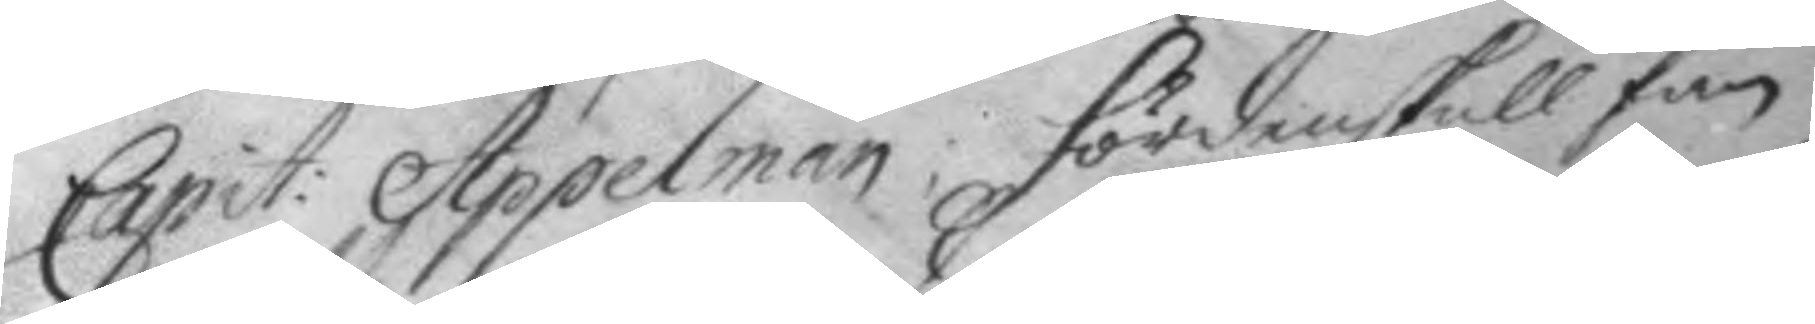Capit: Appelman; fördenskull fan
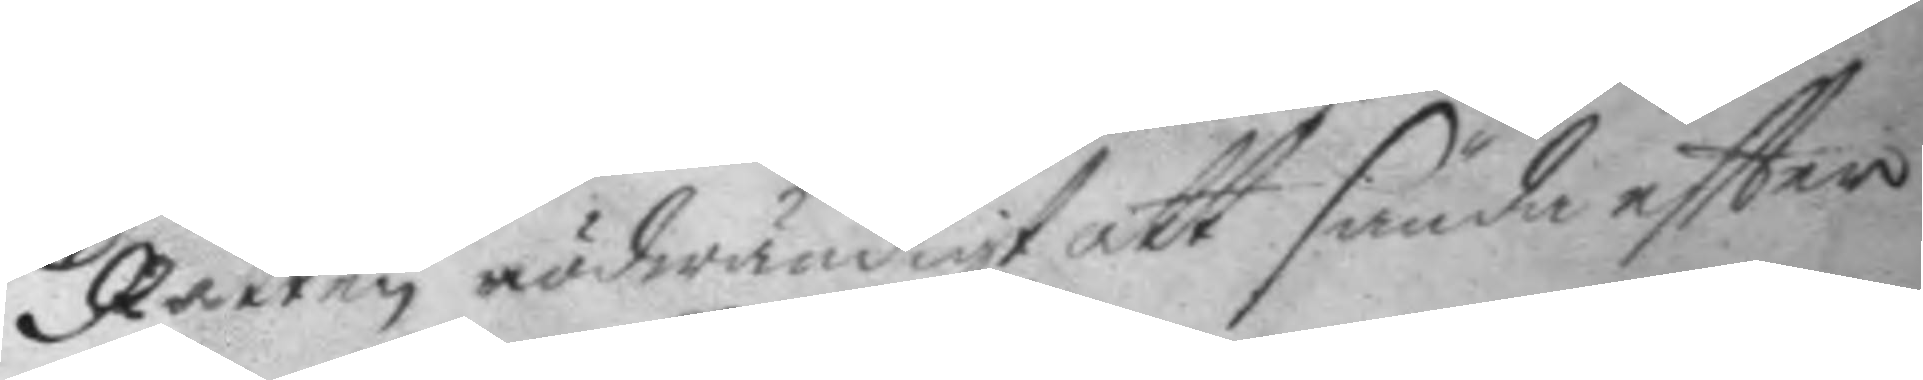Rätten nödwändigt att sända eftter
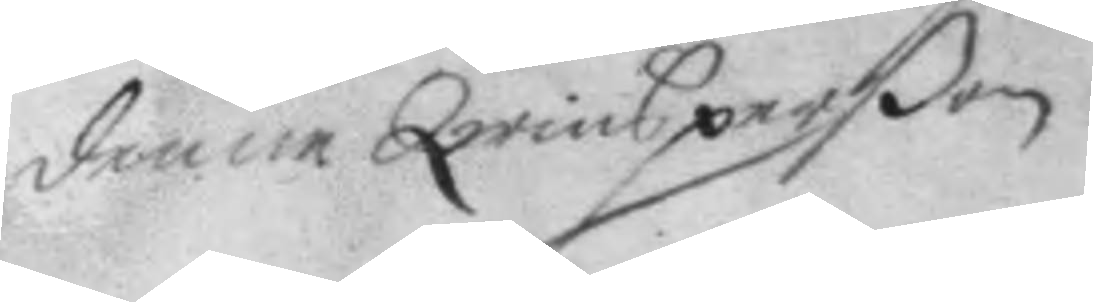denne Qwinsperßon.
